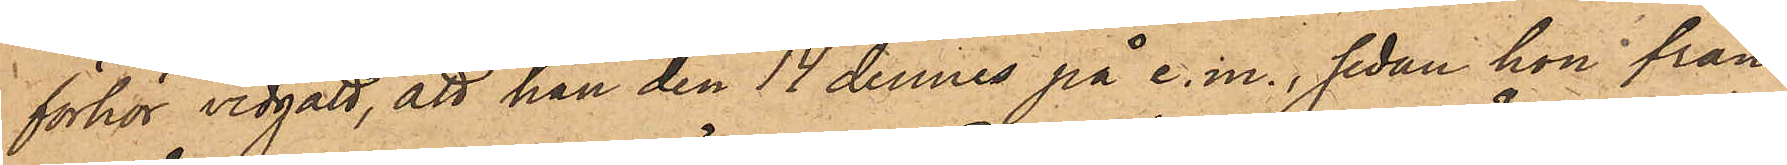förhör vidgått, att han den 14 dennes på e. m., sedan hon från¬
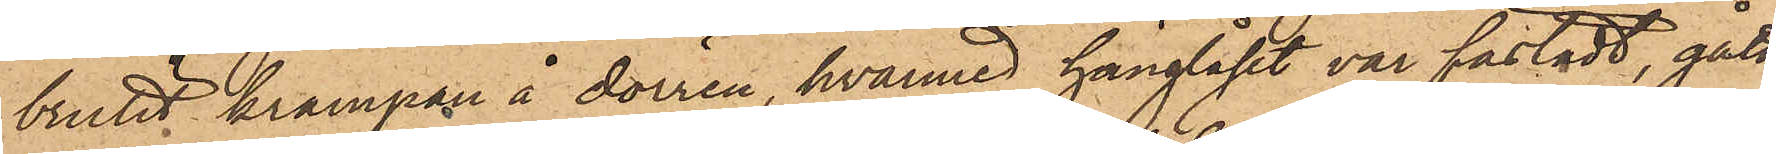brutit krampan å dörren, hvarmed hänglåset var fästadt, gått
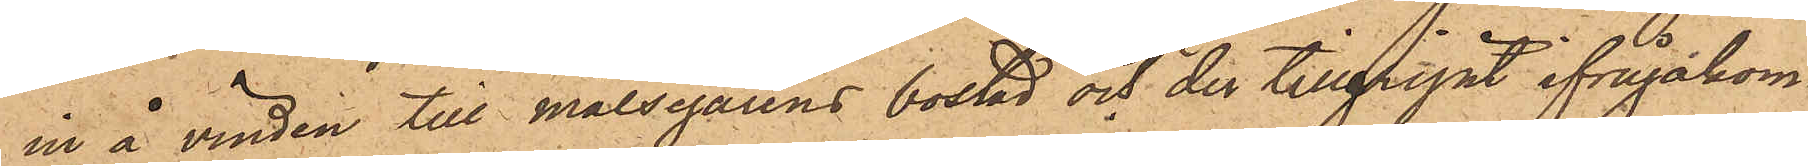in å vinden till Målsegarens bostad och der tillgripit ifrågakom¬
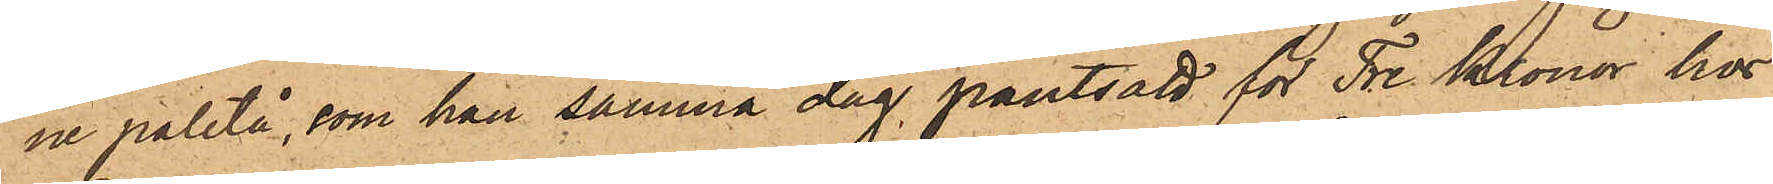ne paletå, som han samma dag pantsatt för Tre Kronor hos
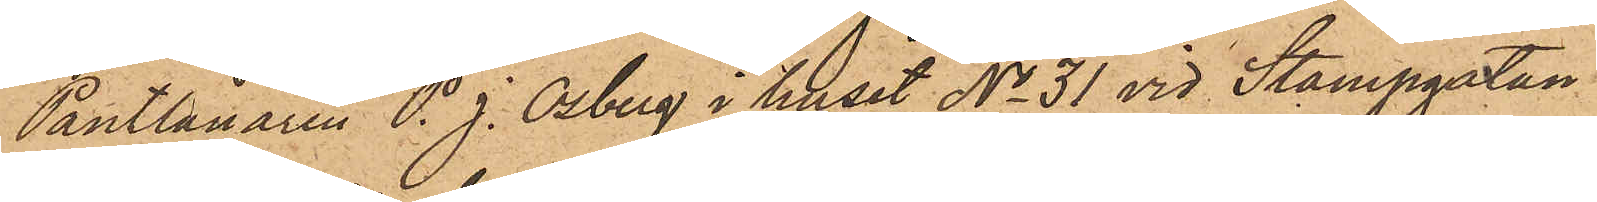Pantlånaren P. J. Osberg i huset No 31 vid Stampgatan.
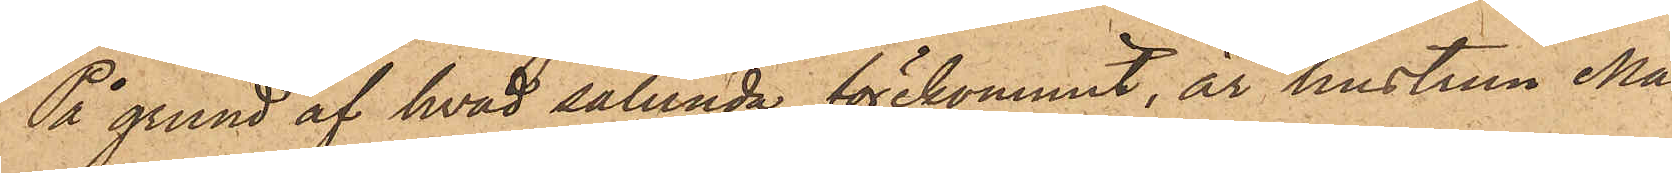På grund af hvad sålunda förekommit, är hustrun Ma¬
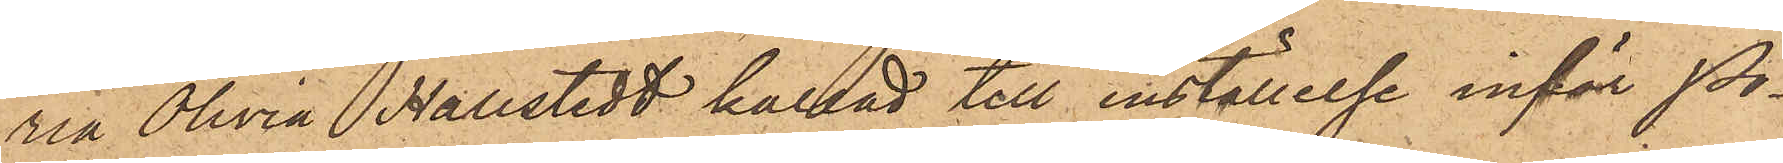ria Olivia Hallstedt kallad till inställelse inför Po¬
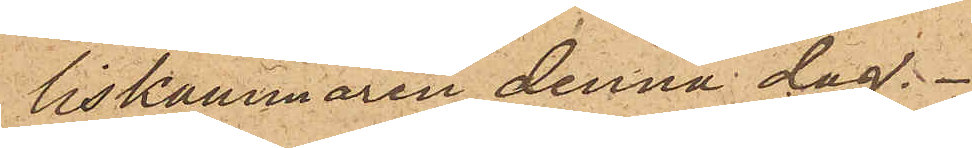liskammaren denna dag.
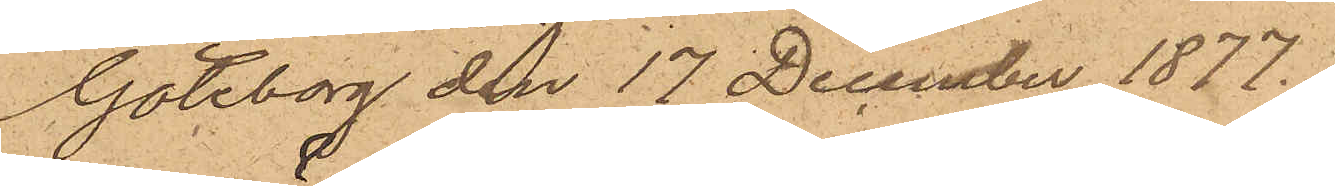Göteborg den 17 December 1877.
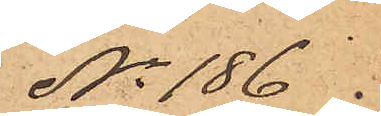No 186.
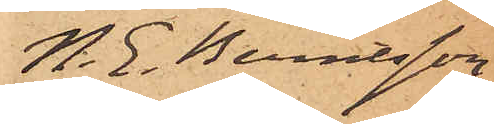N. E. Berntsson
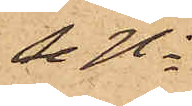Se No
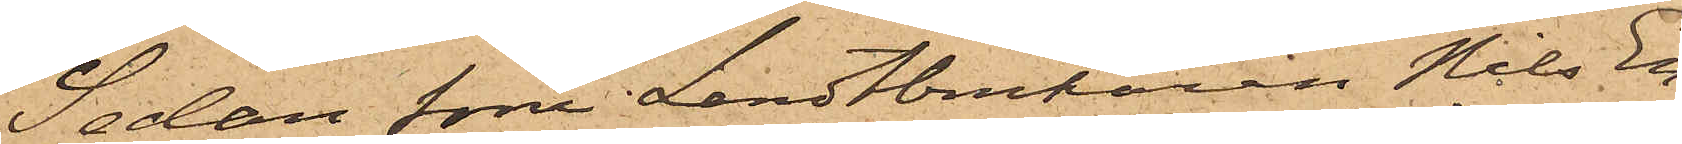Sedan som Landtbrukaren Nils En¬
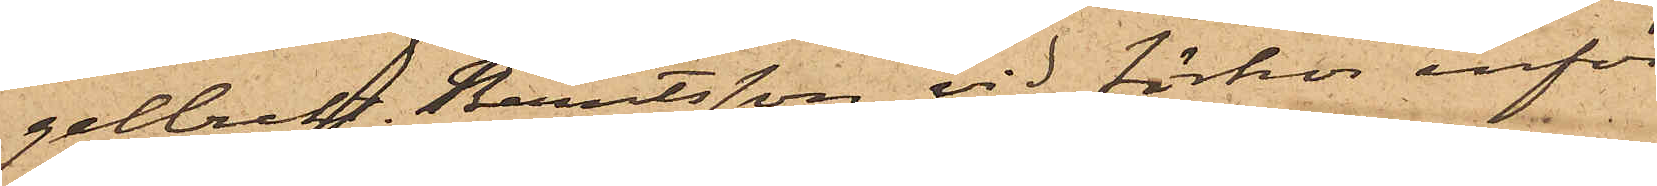gelbrekt Berntsson vid förhör inför
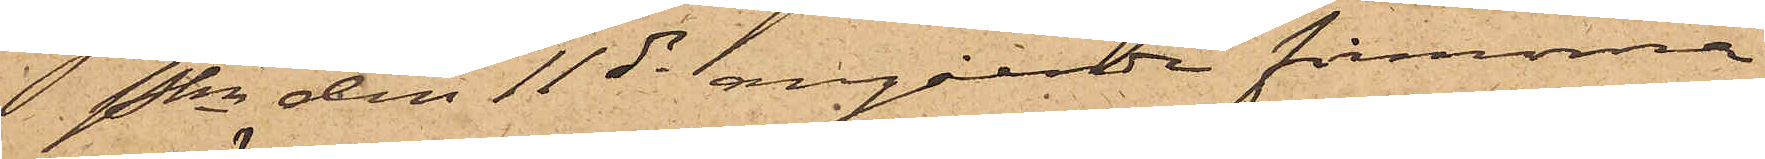Pkn den 11 ds angående firmorna
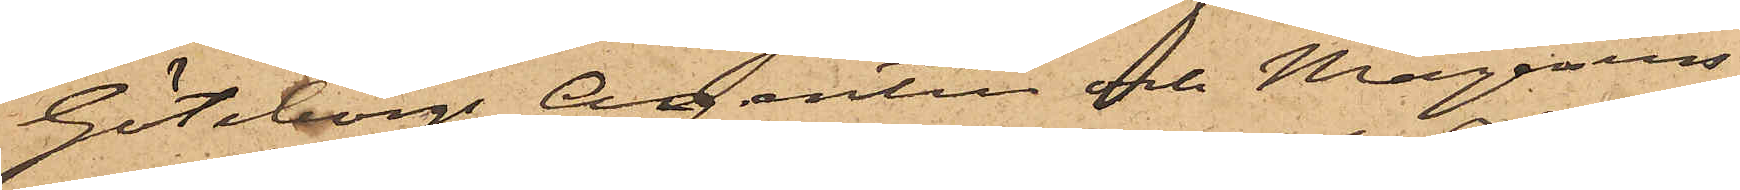Göteborgs Agentur och Magasins¬
